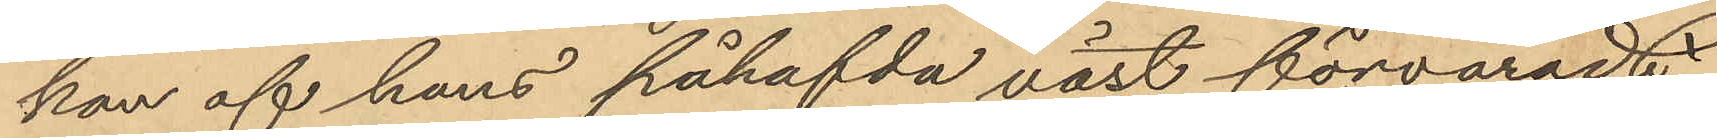kan af hans påhafvda väst förvaradt
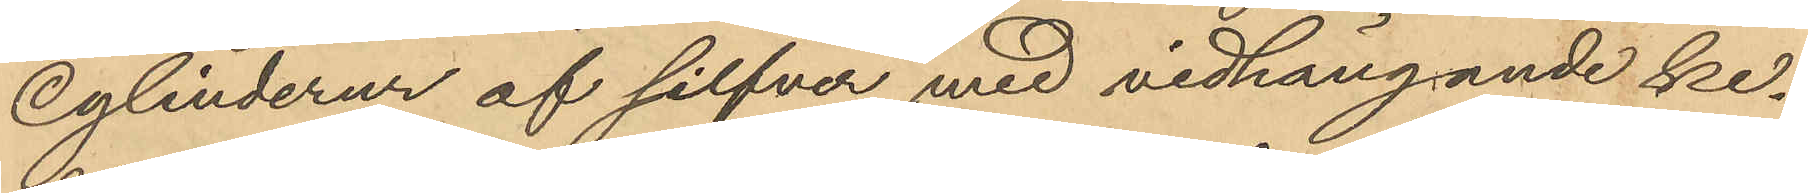Cylinderur af silfver med vidhängande ke¬
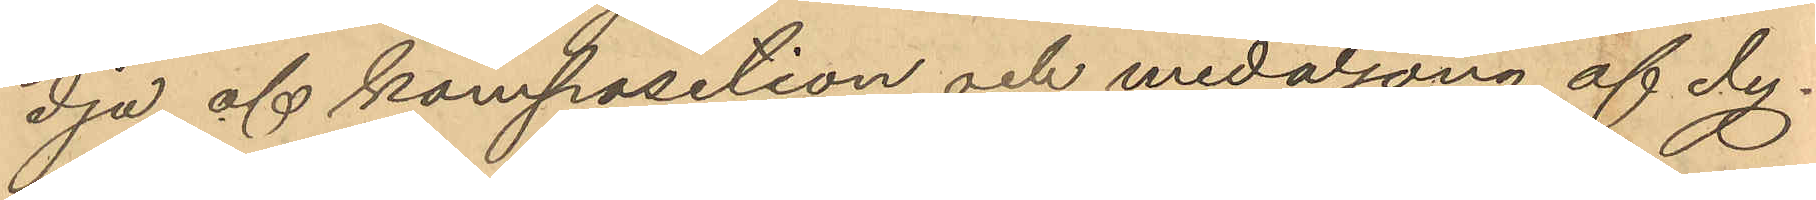dja af komposition och medaljong af dy-
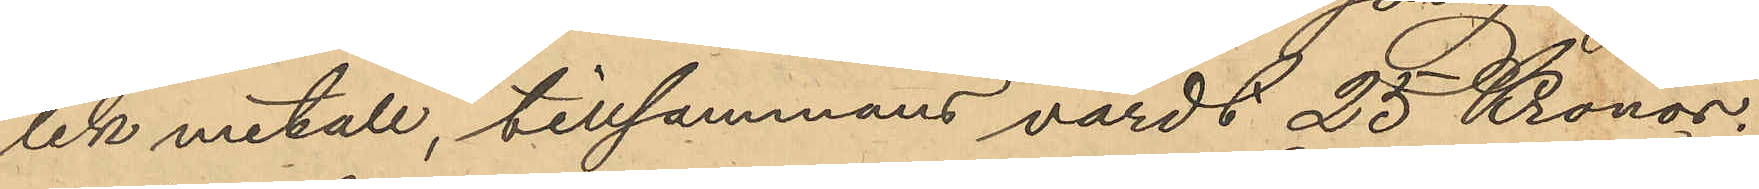lik metall, tillsammans värdt 25 Kronor.
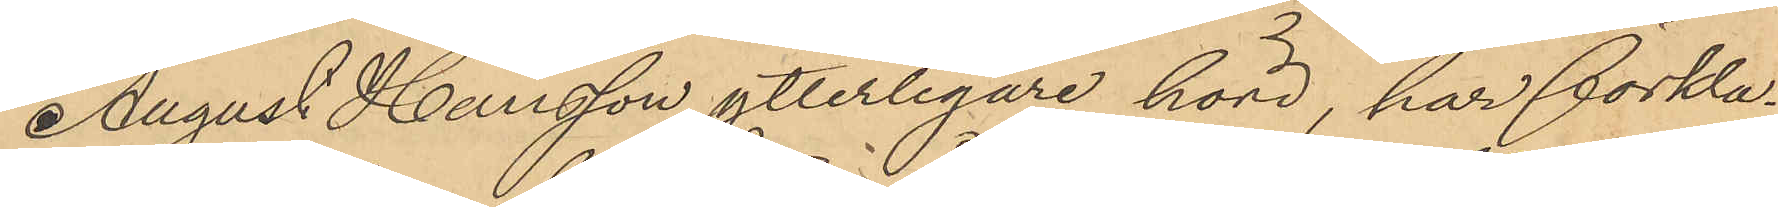August Hansson ytterligare hörd, har förkla¬
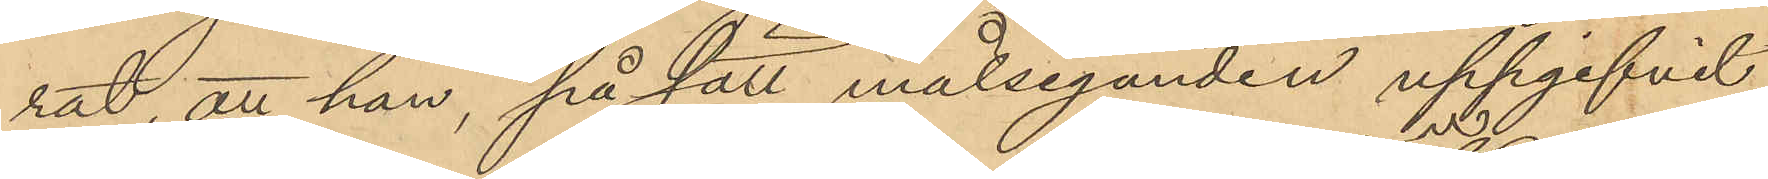rat att han, på sätt målseganden uppgifvit
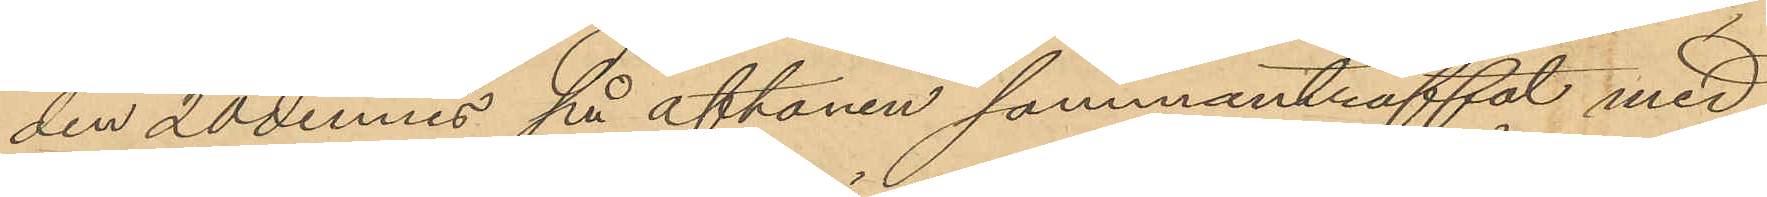den 20 dennes på aftonen sammanträffat med
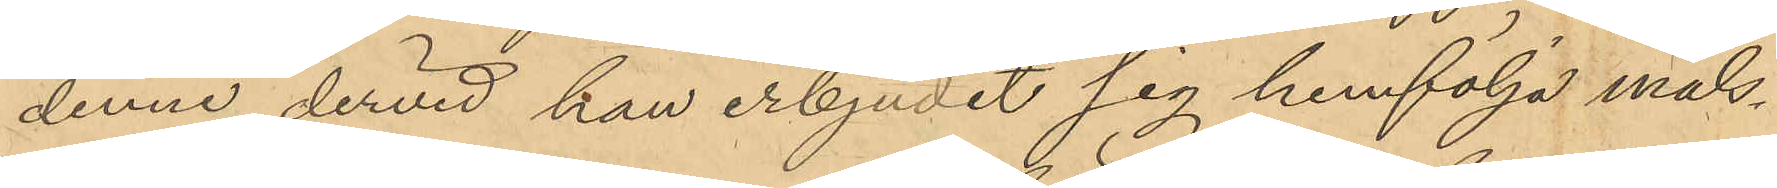denne dervid han erbjudit sig hemfölja måls¬
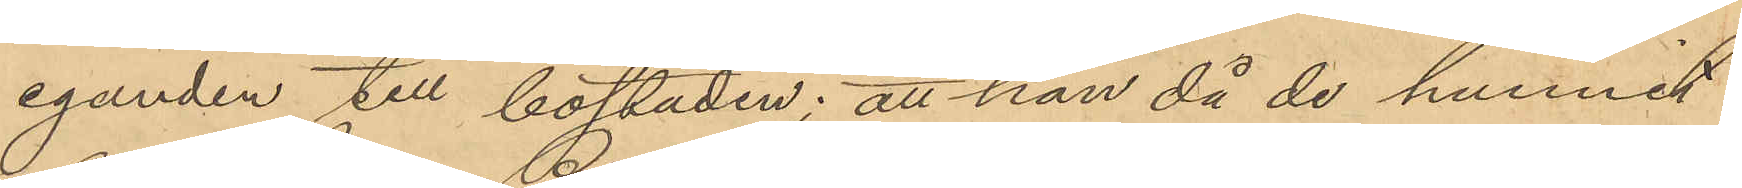eganden till bostaden; att han då de hunnit
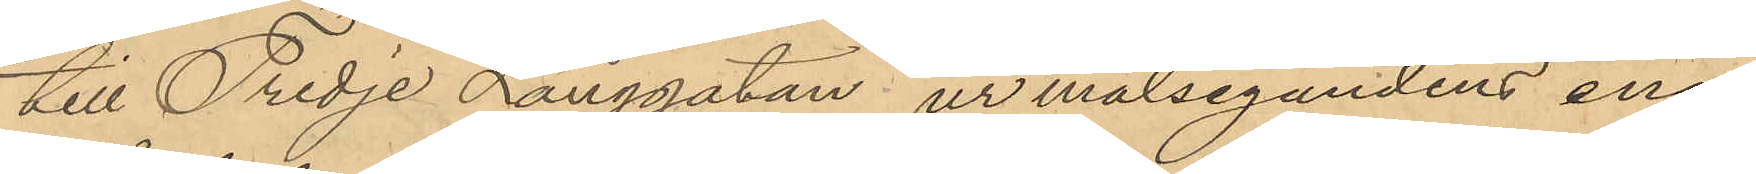till Tredje Långgatan, ur målsegandens ena
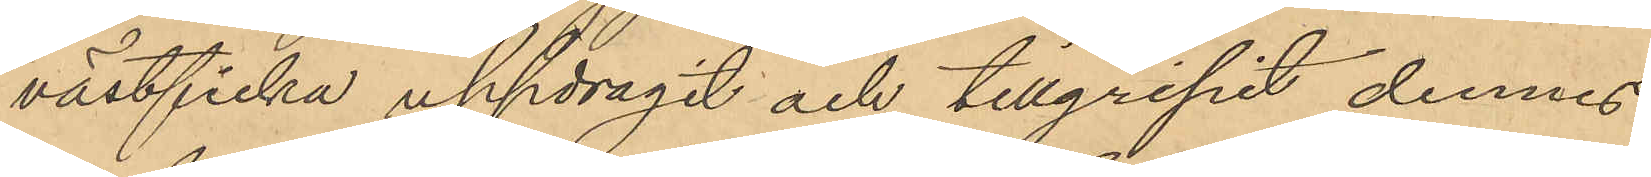västficka uppdragit och tillgripit dennes
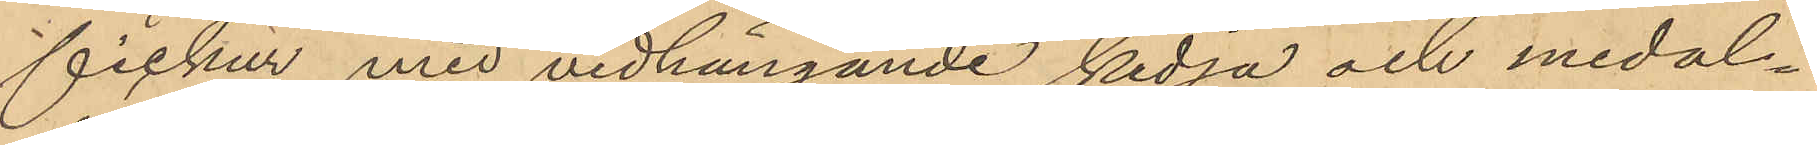fickur med vidhängande kedja och medal¬
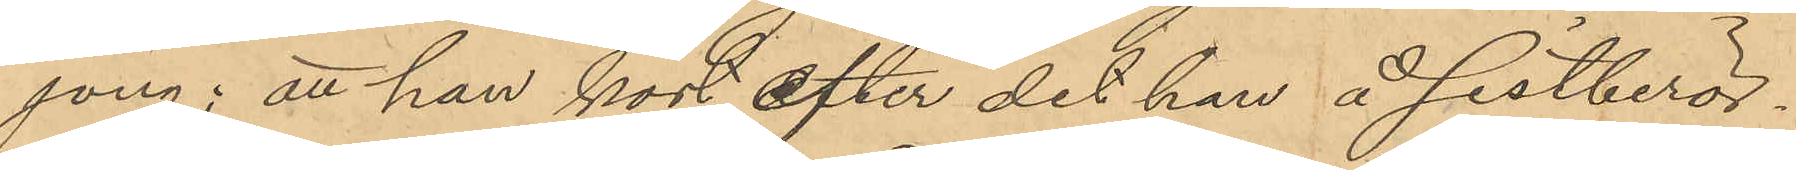jong; att han kort efter det han å sistberör¬
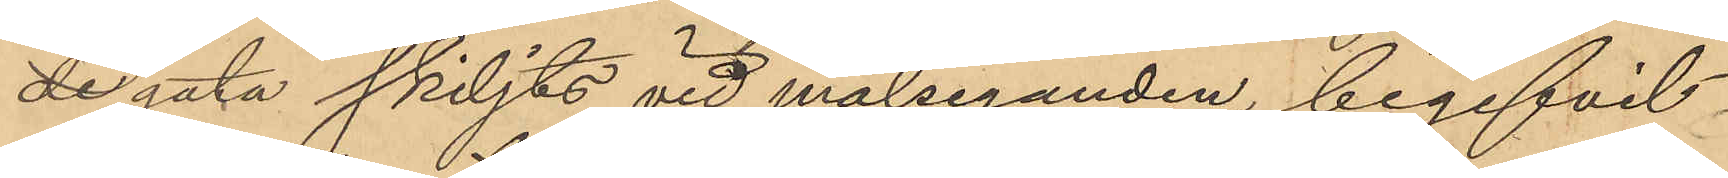de gata skiljts vid målseganden, begifvit
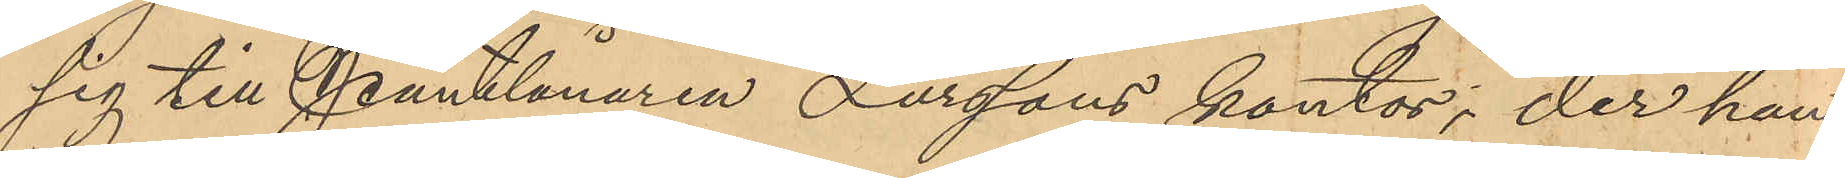sig till Pantlånaren Larssons kontor; der han
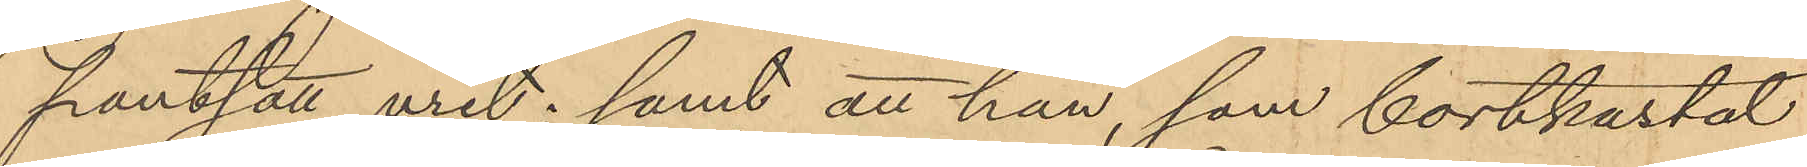pantsatt uret; samt att han, som bortkastat
